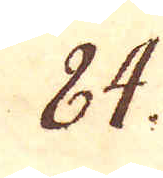84.
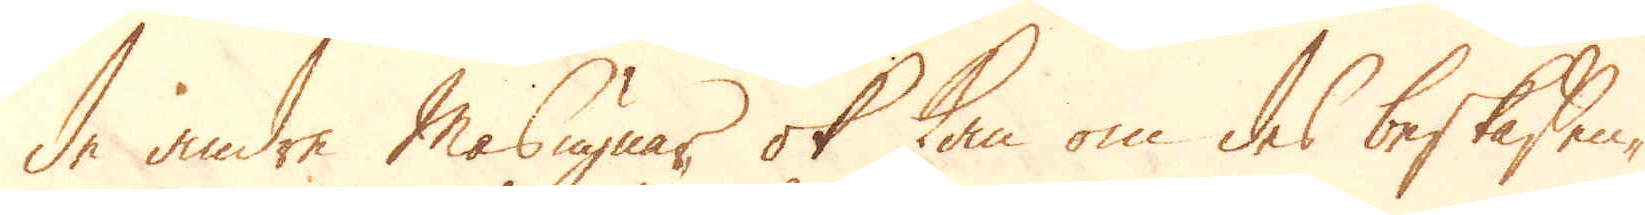de andre Masugnar, ok kan om des beskaffen-
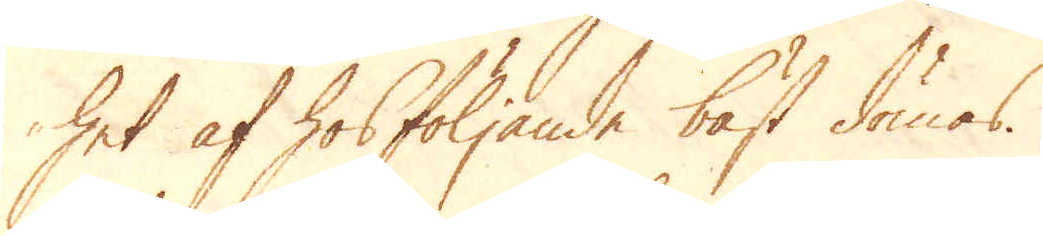het af hosföljande bäst dömas.
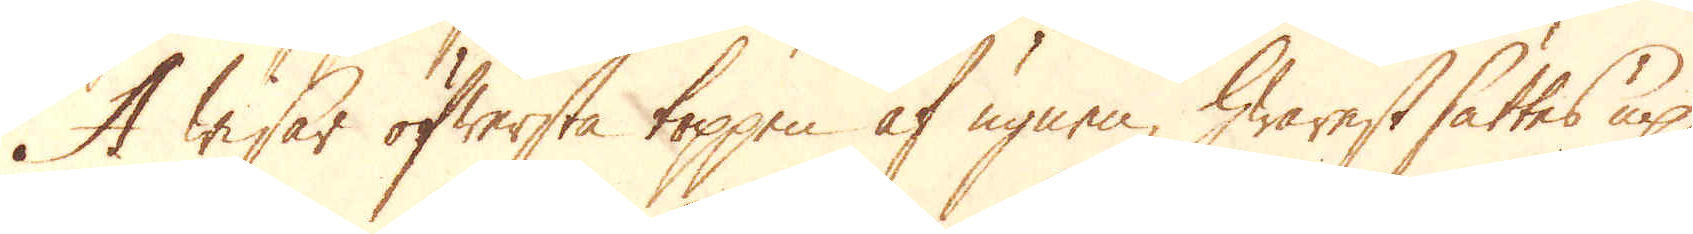A wisar öfwersta toppen af ugnen, hwarest sättes up,
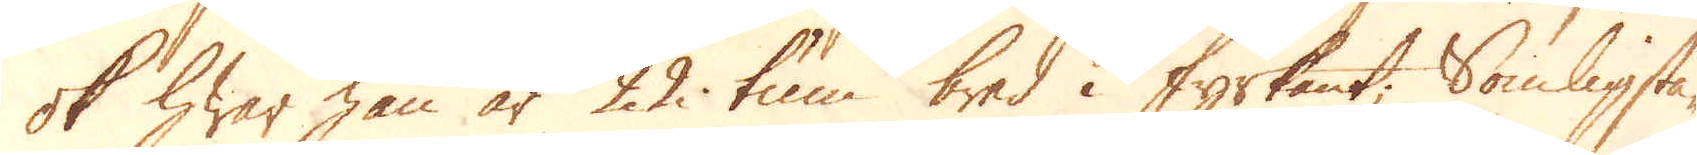ok hwar han är 22 tum bred i fyrkant; Somligstä-
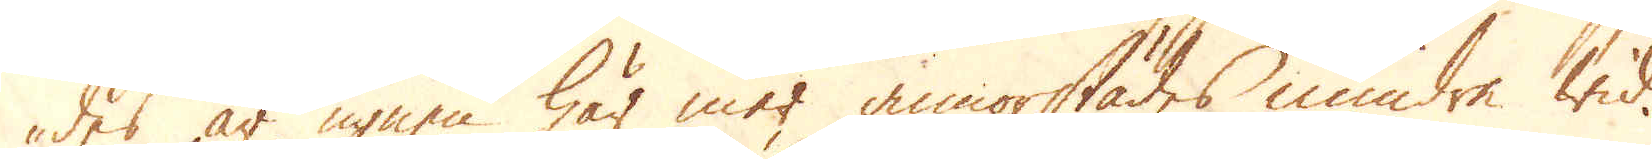des är ugnen här mer annorstädes mindre wid.
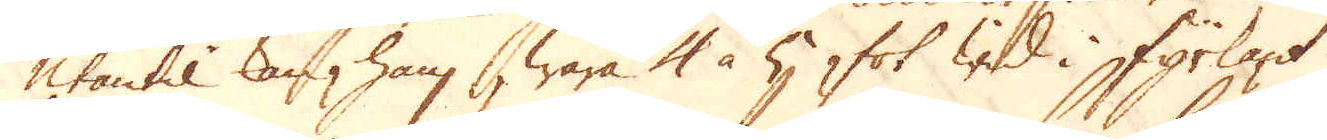Utantil kan han wara 4 à 5 fot wid i fyrkant.
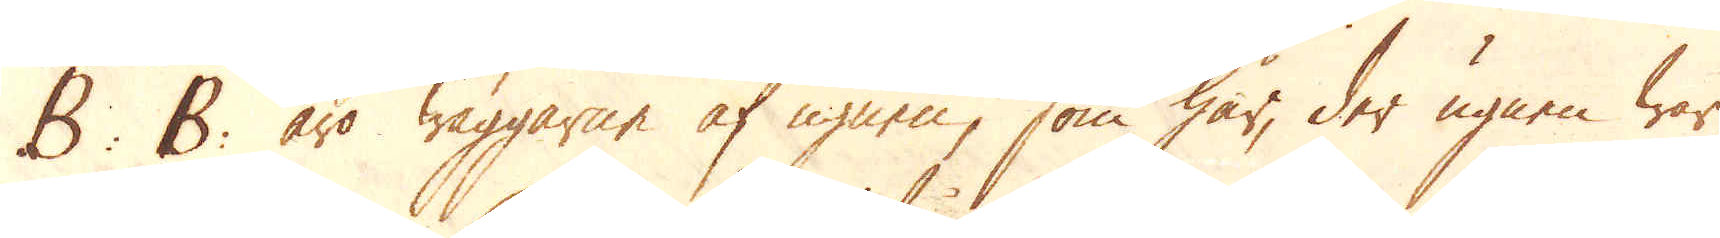B: B: äro wäggarne af ugnen, som här, der ugnen war
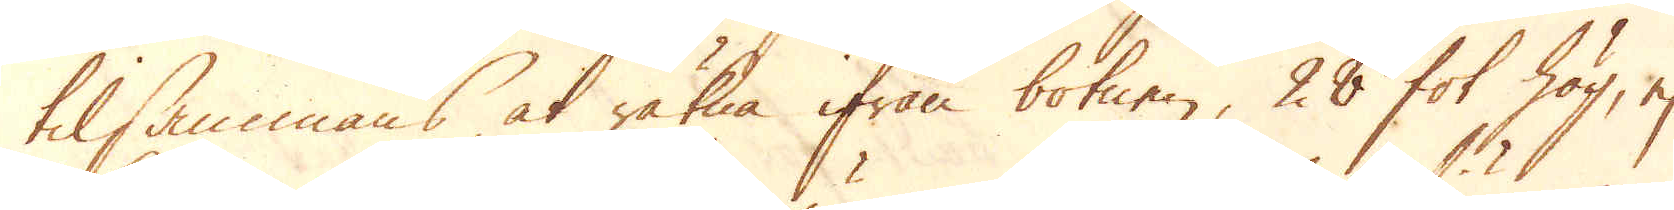tilsammans, at räkna ifrån botnen, 28 fot hög, ej
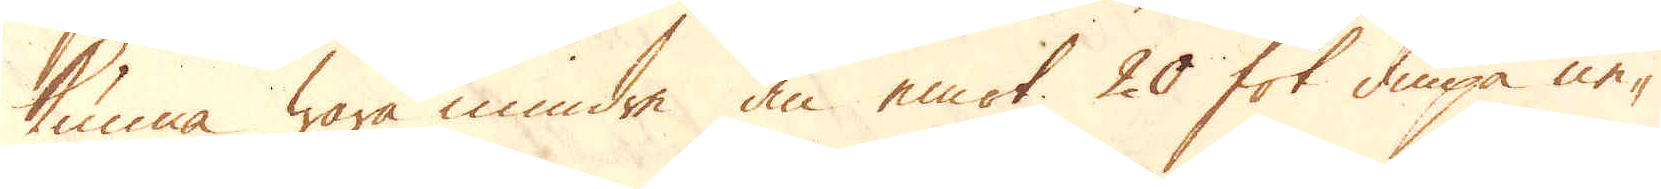kunna wara mindre än emot 20 fot diupa ne-
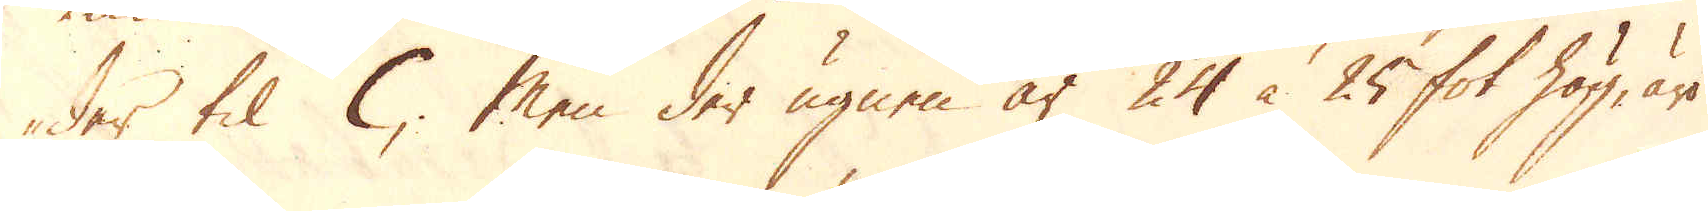der til C; Men der ugnen är 24 à 25 fot hög, äro
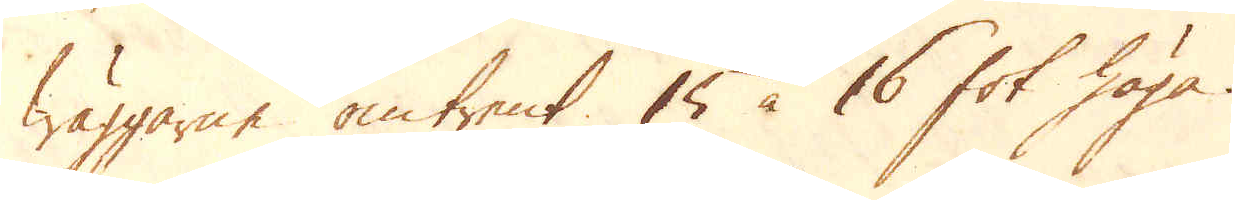wäggarne omtrent 15 à 16 fot höga.
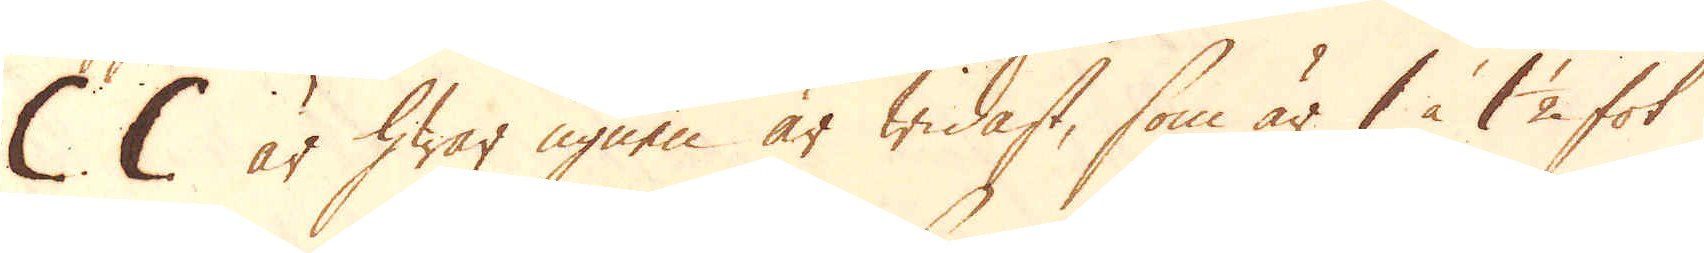C C är hwar ugnen är widast, som är 1 à 1 1/2 fot
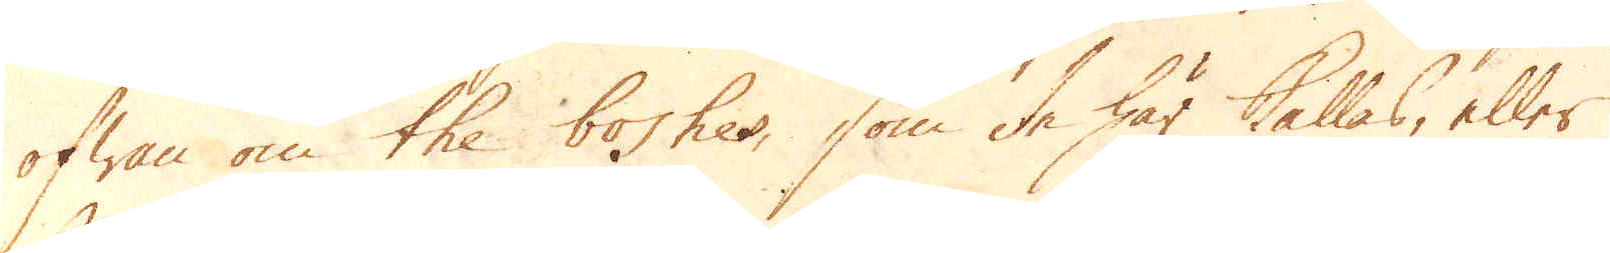ofwan om the boshes, som de här kallas, eller
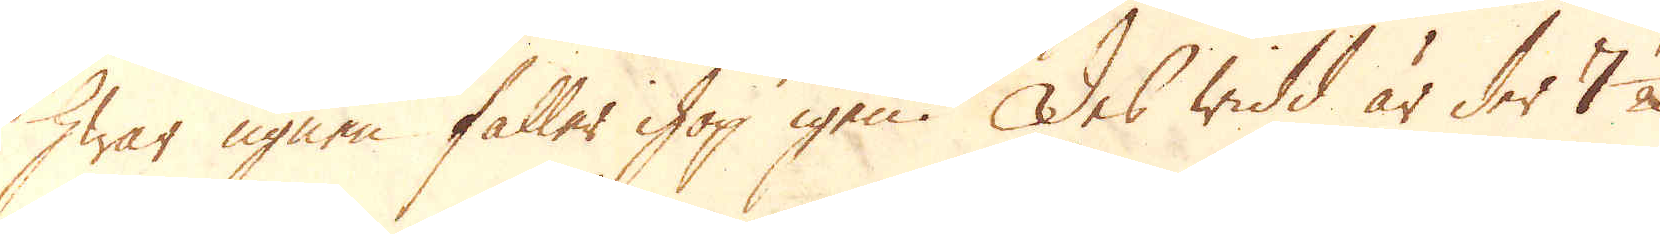hwar ugnen faller ihop igen. Des widd är der 7 1/2
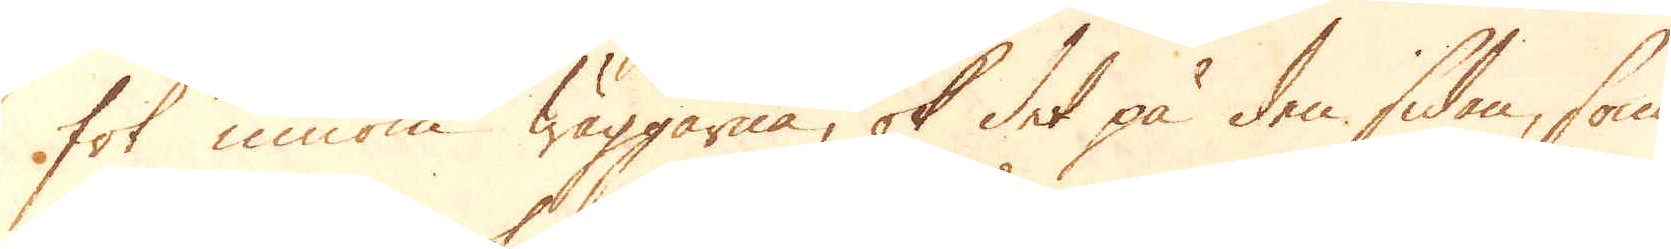fot innom wäggarna, ok det på den sidan, som
